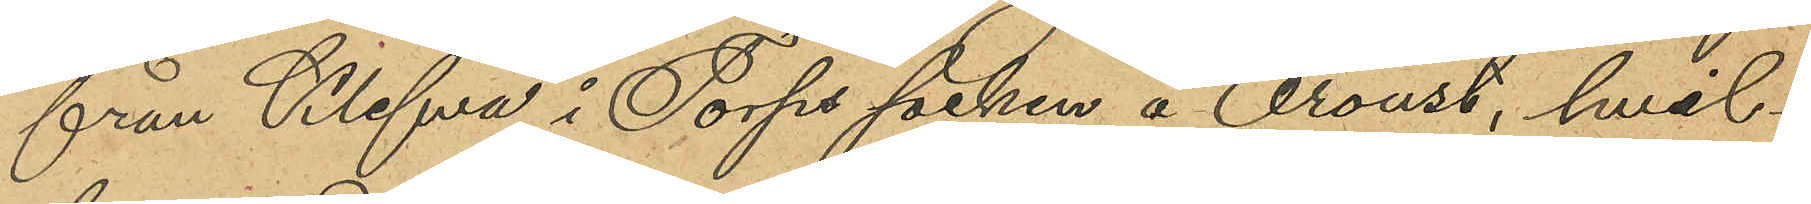från Klefva i Torps socken å Oroust, hvil¬
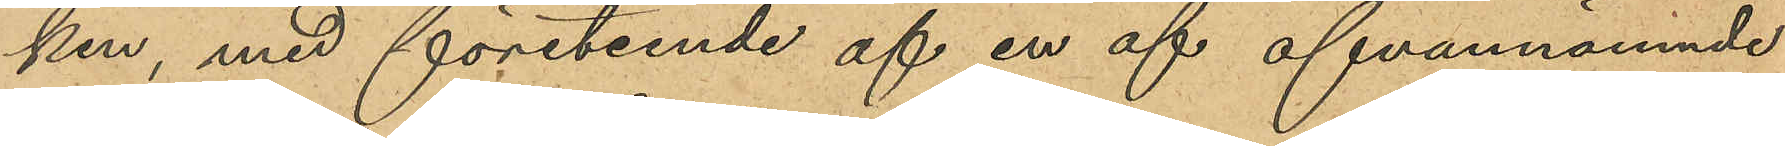ken, med företeende af en af ofvannämnde
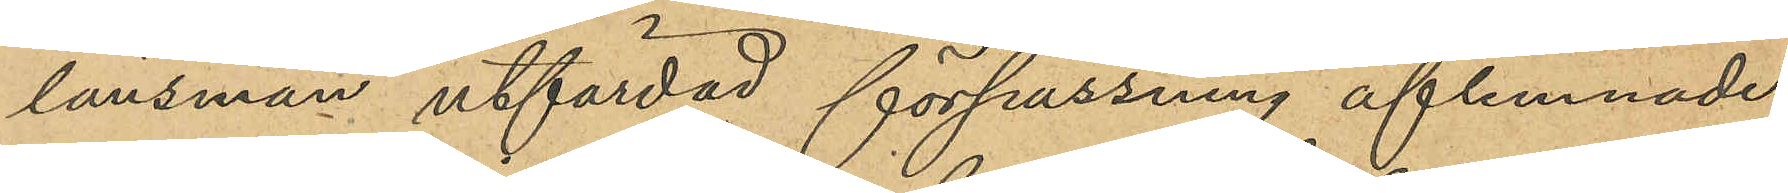länsman utfärdad förpassning aflemnade
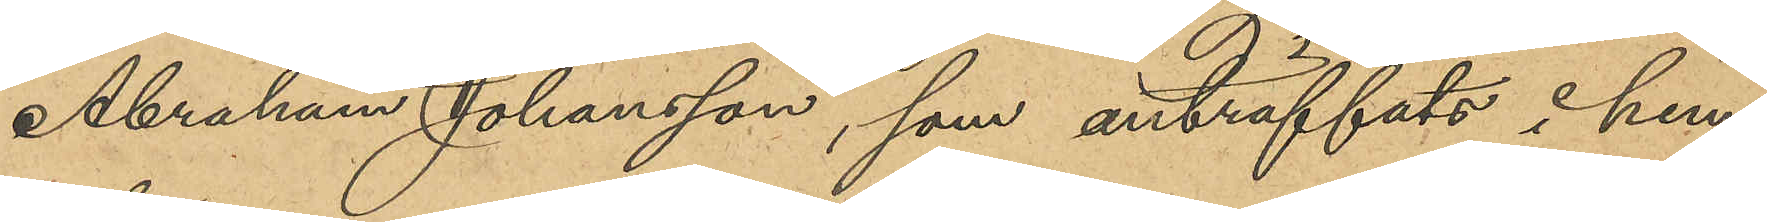Abraham Johansson, som anträffats i hem¬
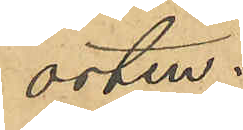orten.
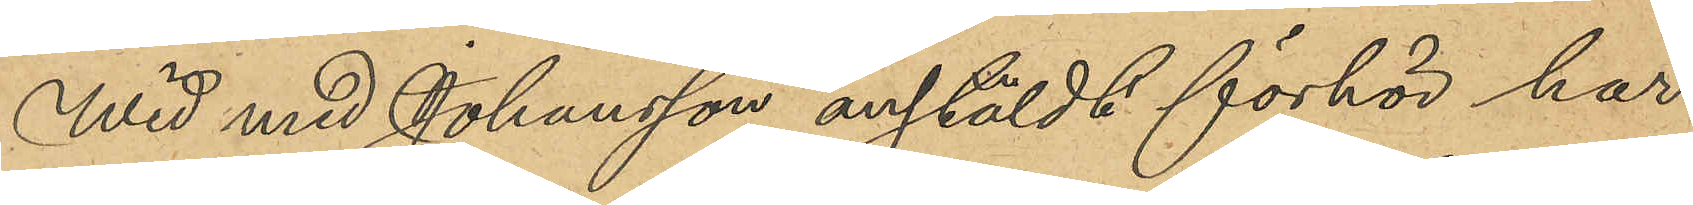Wid med Johansson anstäldt förhör har
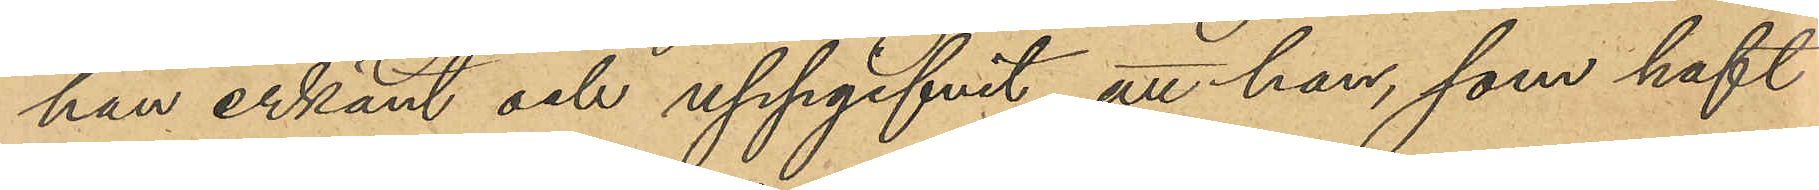han erkänt och uppgifvit, att han, som haft
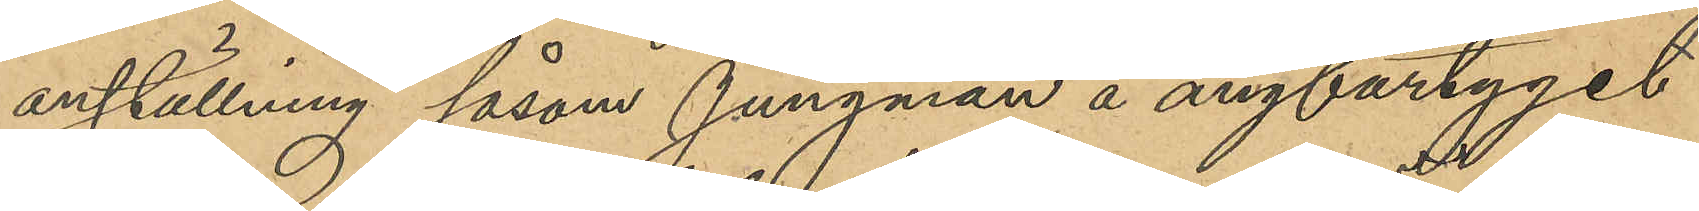anställning såsom Jungman å ångfartyget
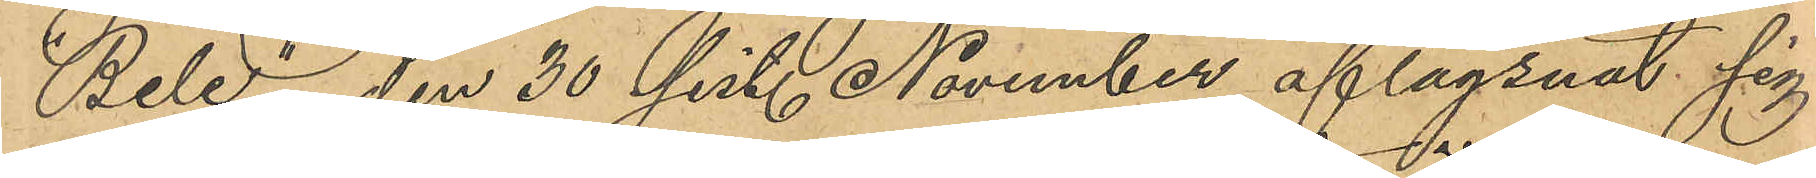"Bele", den 30 sist. November aflägsnat sig
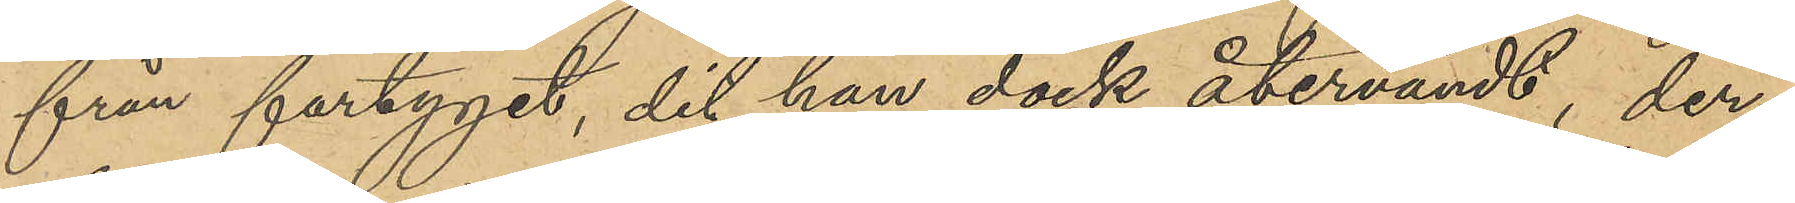från fartyget, dit han dock återvändt, der¬
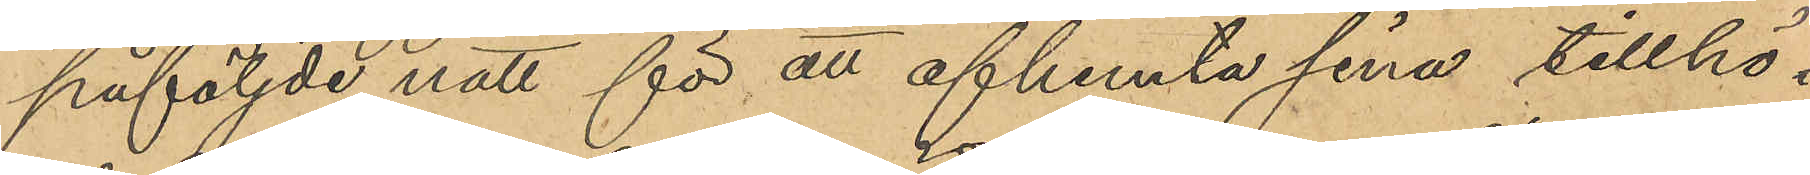påföljde natt för att afhemta sina tillhö¬
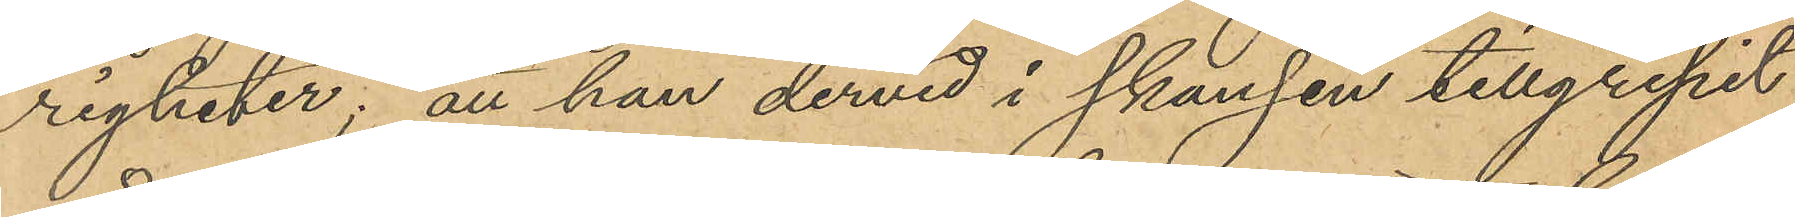righeter; att han dervid i skansen tillgripit
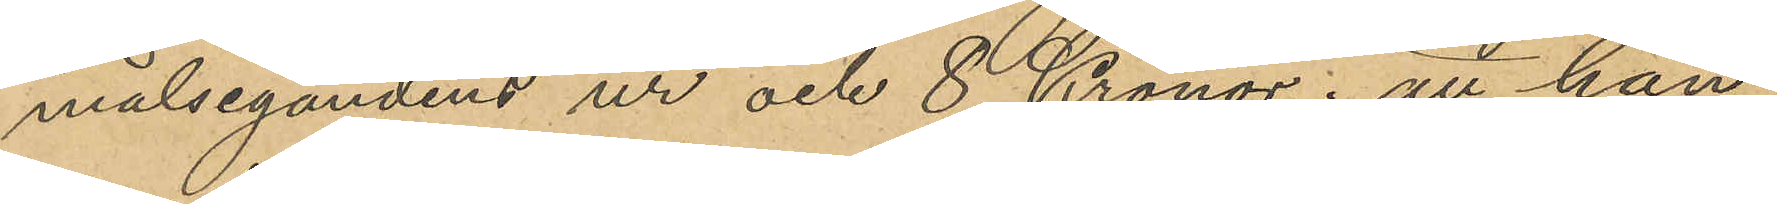målsegandens ur och 8 Kronor; att han
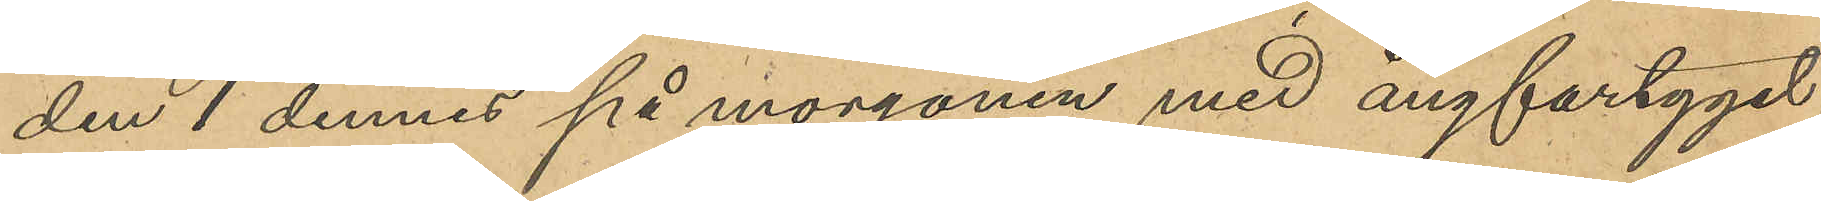den 1 dennes på morgonen med ångfartyget
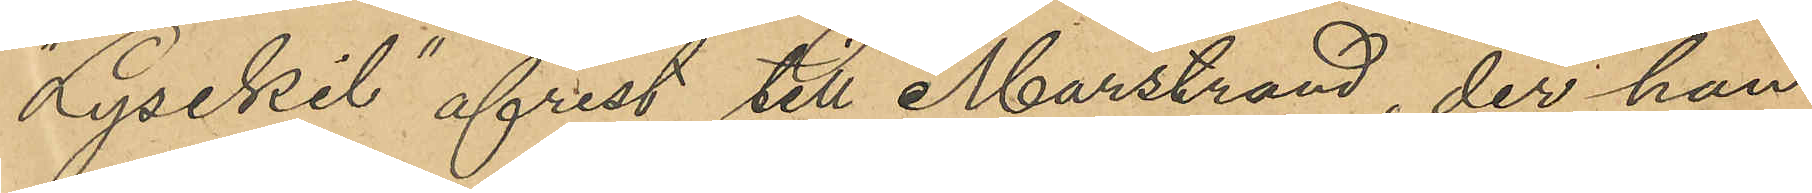"Lysekil" afrest till Marstrand, der han
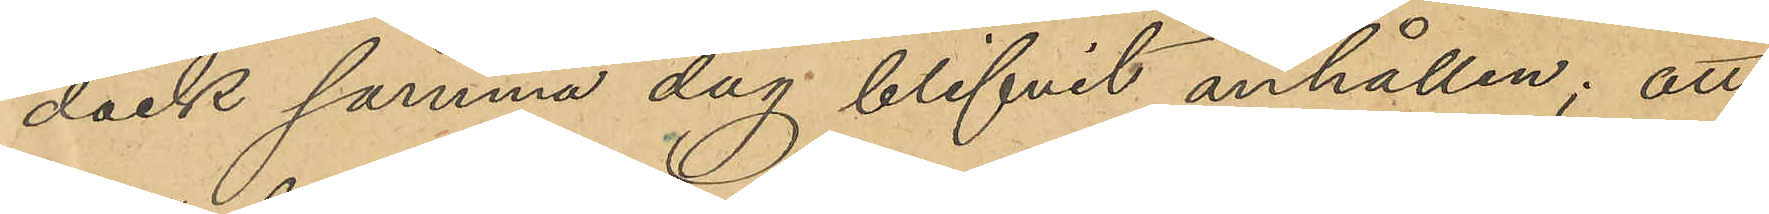dock samma dag blifvit anhållen; att
